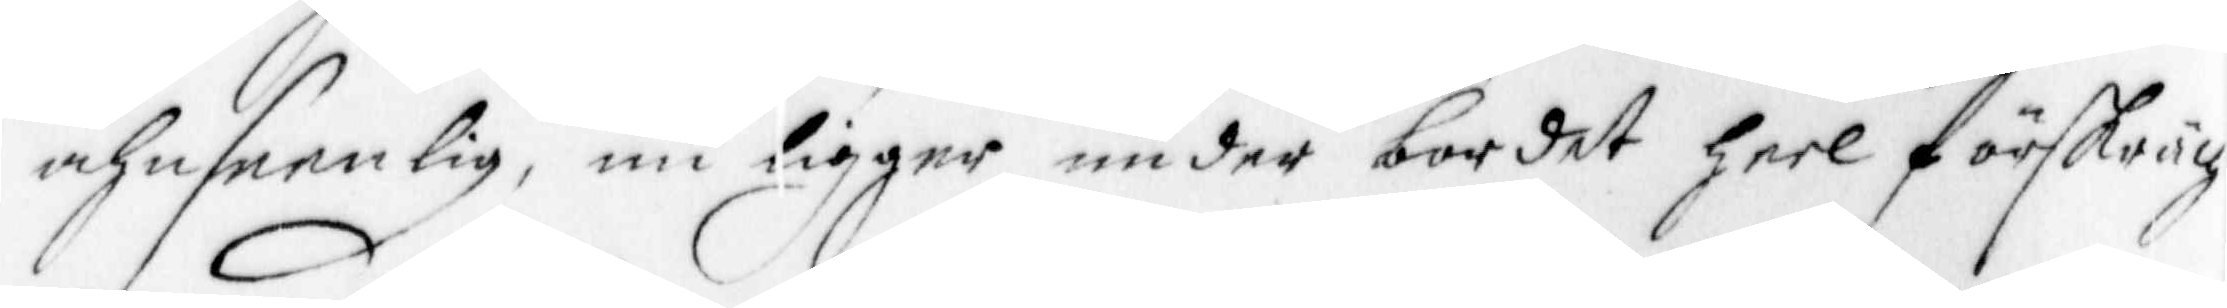ahnseenlig, nu ligger under bordet heel förskräg¬
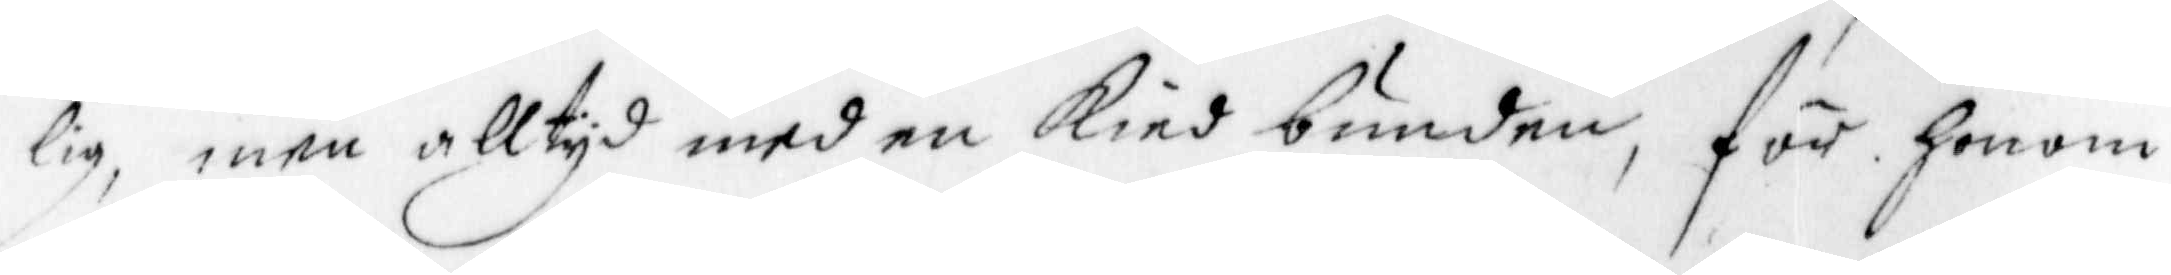lig, men alltyd med en kied bunden, för honom
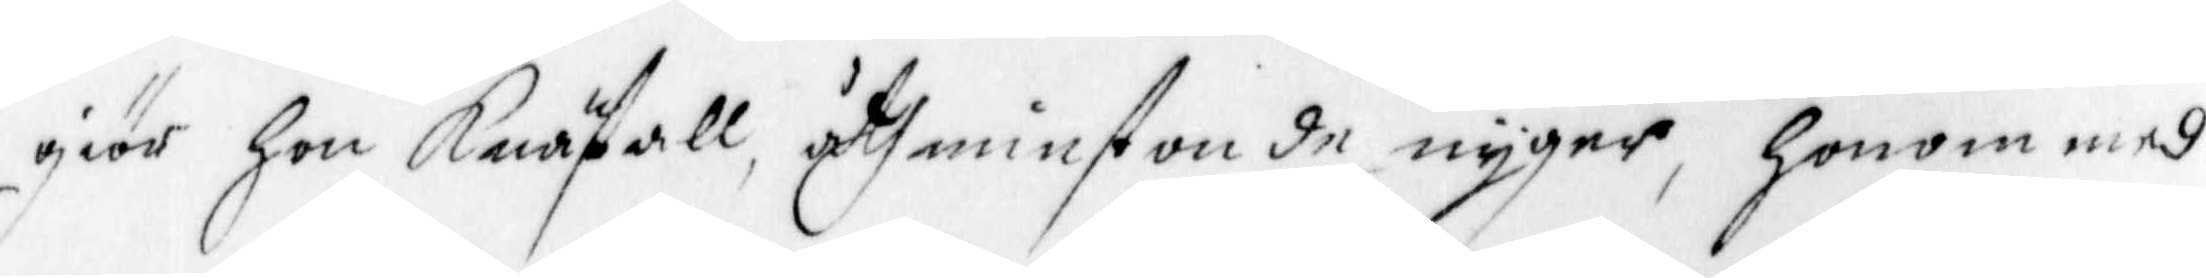giör hon Knäfall, åthminstonde nyger, honom med
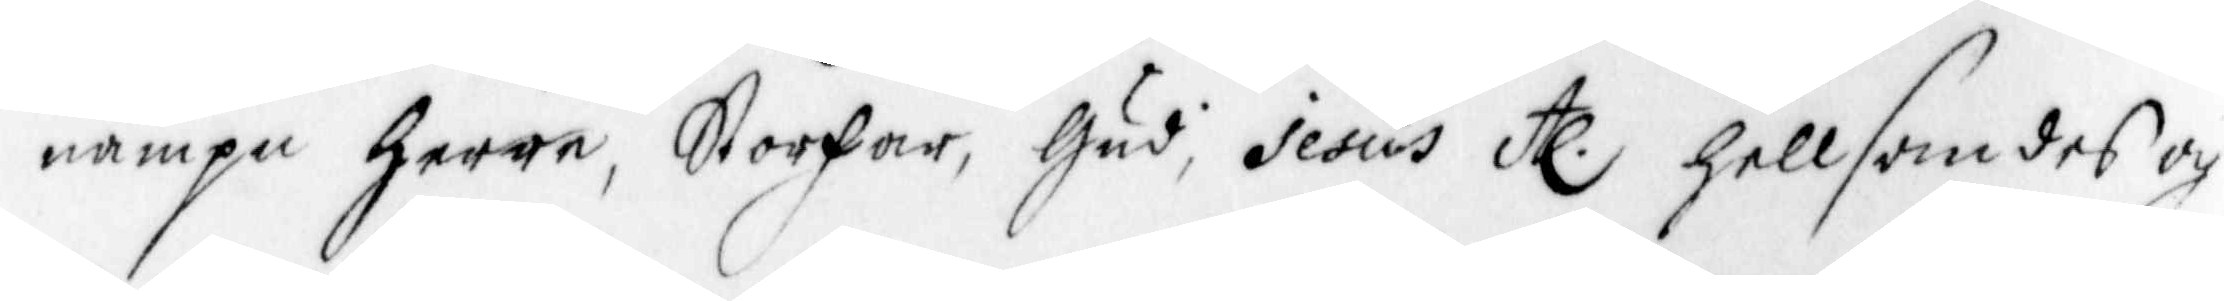nampn Herre, Storfar, Gud, Jesus etc hellsandes och 
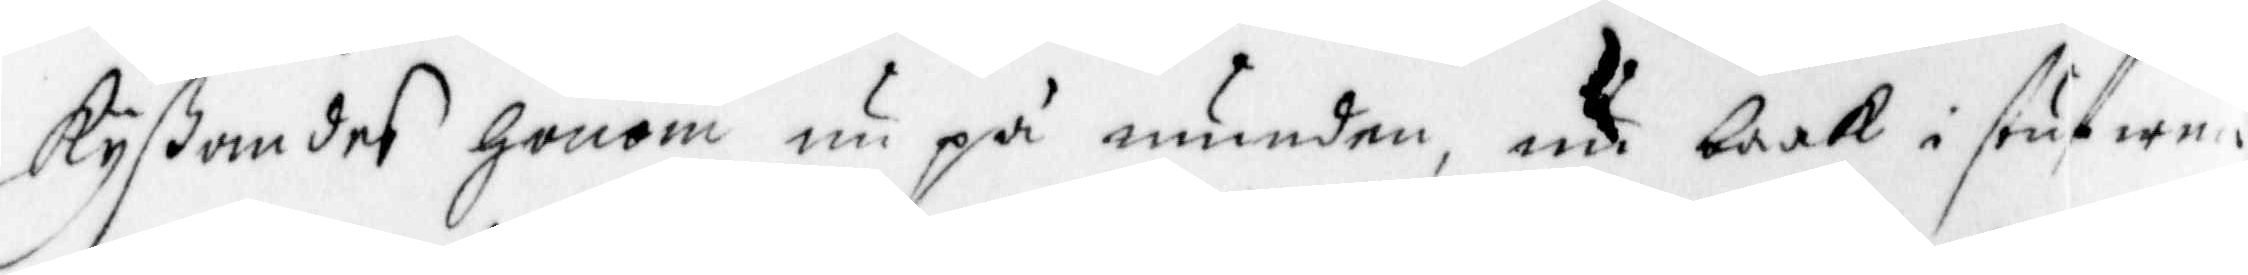kyßandes Honom nu på munden, nu baak i stufwen
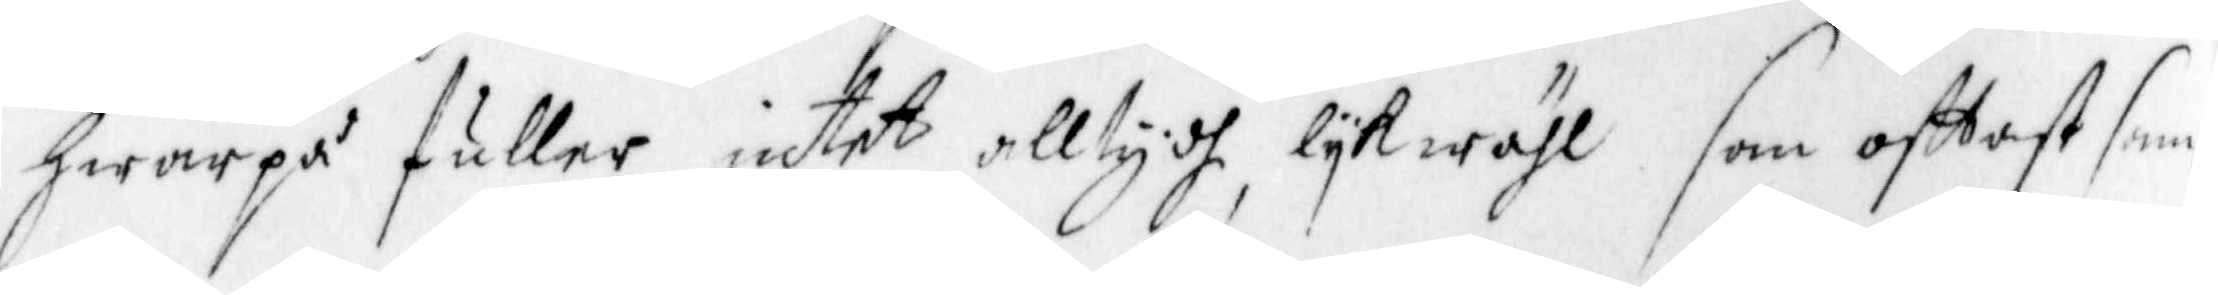hwarpå fuller intet alltydh, lykwähl son offtast sam¬
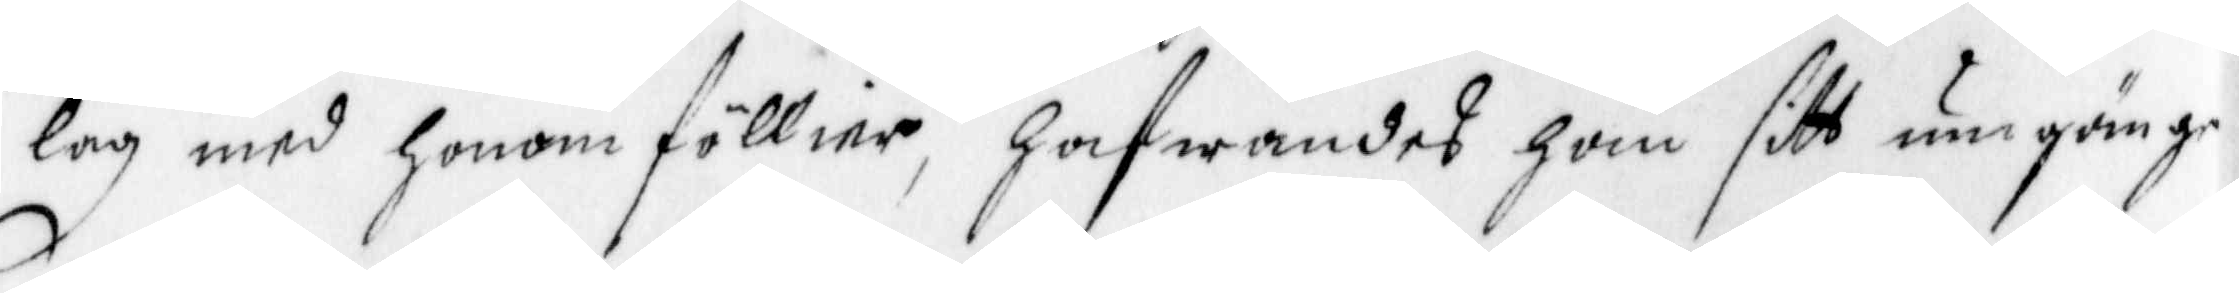lag med honom föllier, hafwandes han sitt ungänge
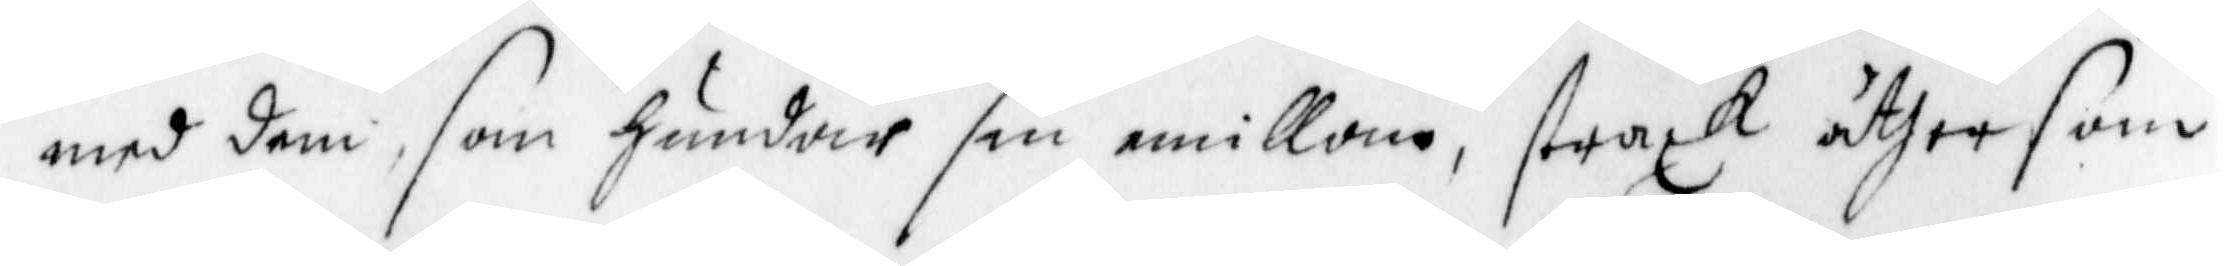med dem, som hundar sin emillam, straxt åther som
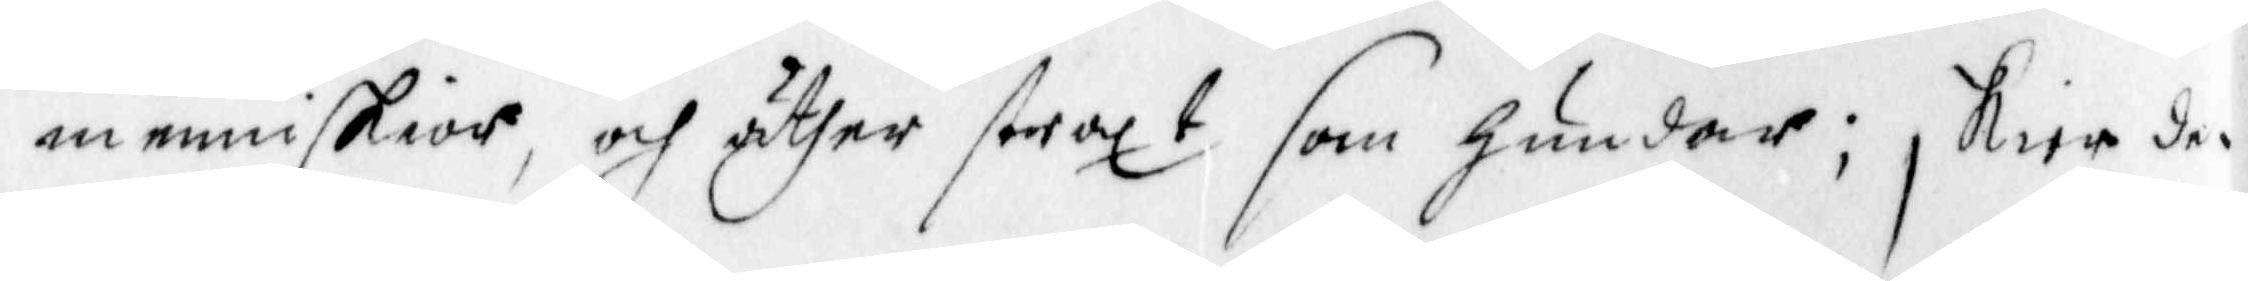menniskior, och äther straxt som hundar; skier de
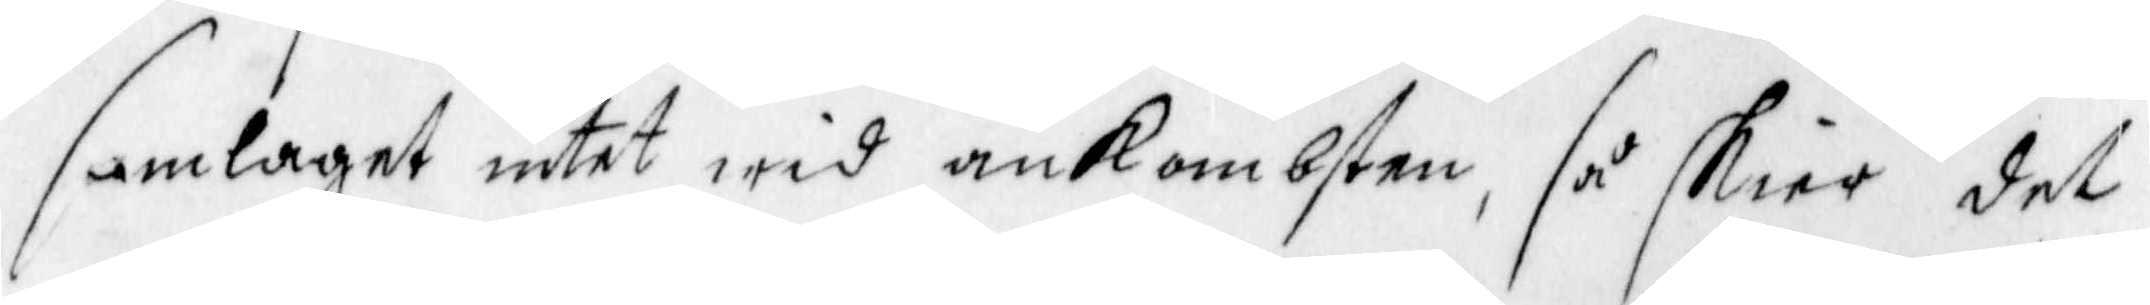samlaget intet wid ankombsten, så skier det
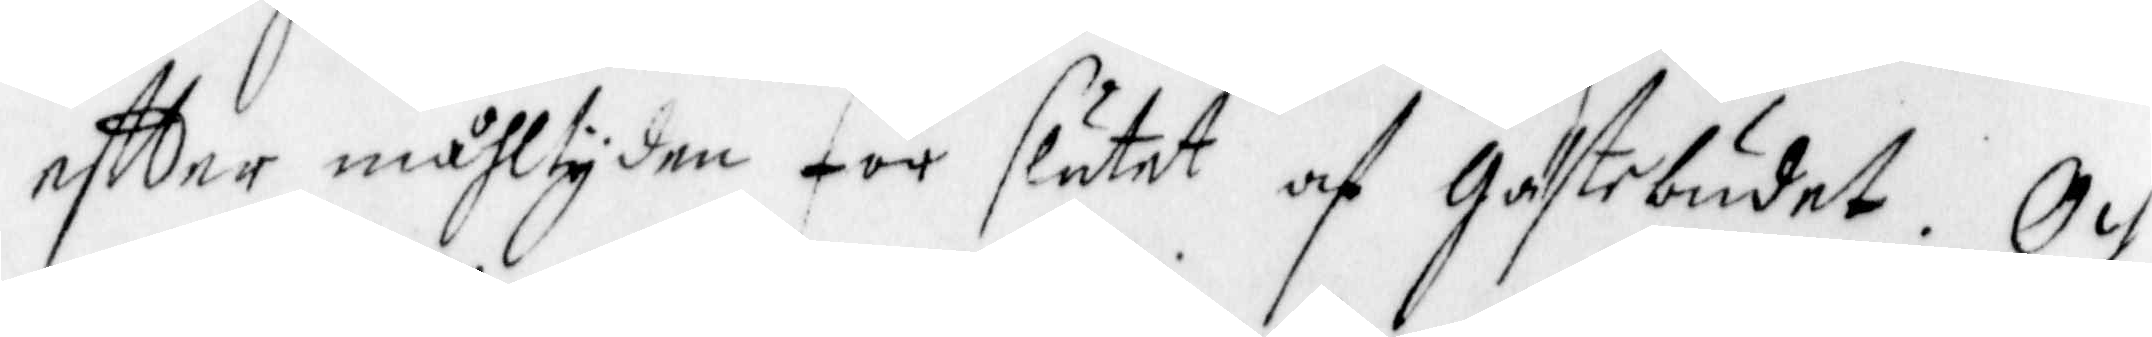eftter måhltyden för slutet af Gästebudet. Och
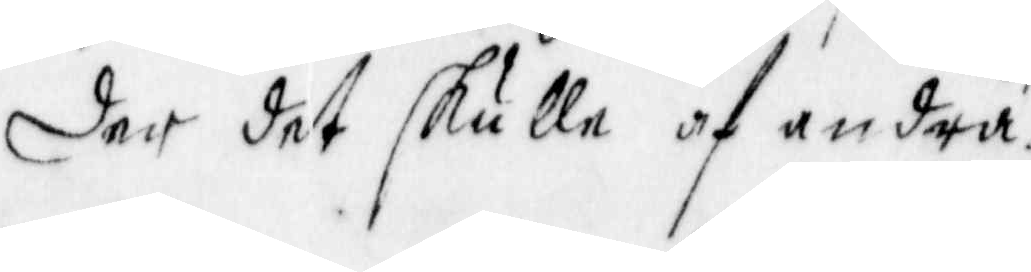der det skulle af andra 
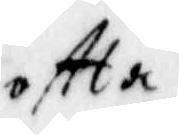oftta
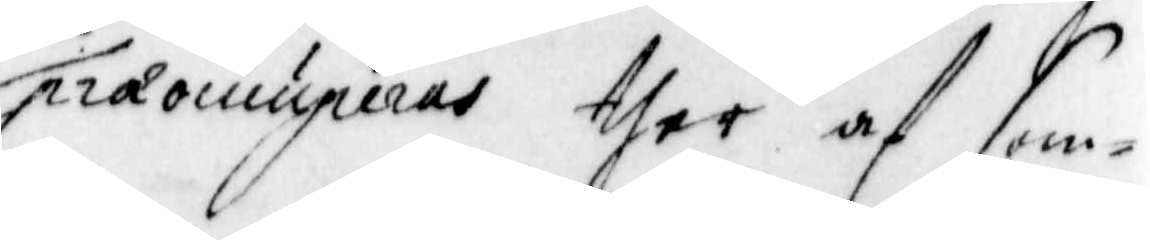præonuperas ther af som¬
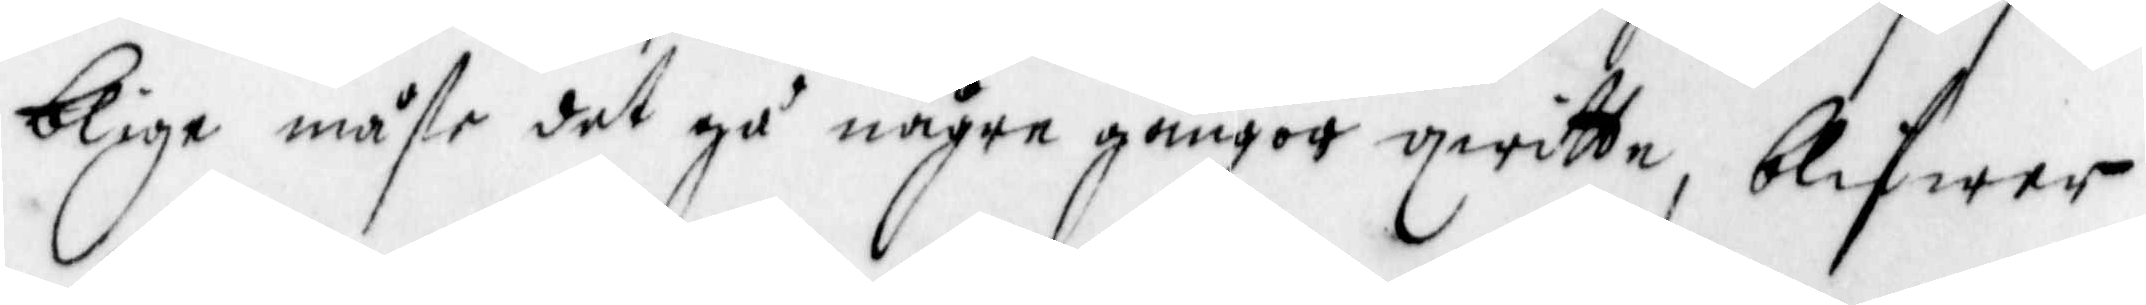blige måste det gå någre gångor qwitte, blifwer
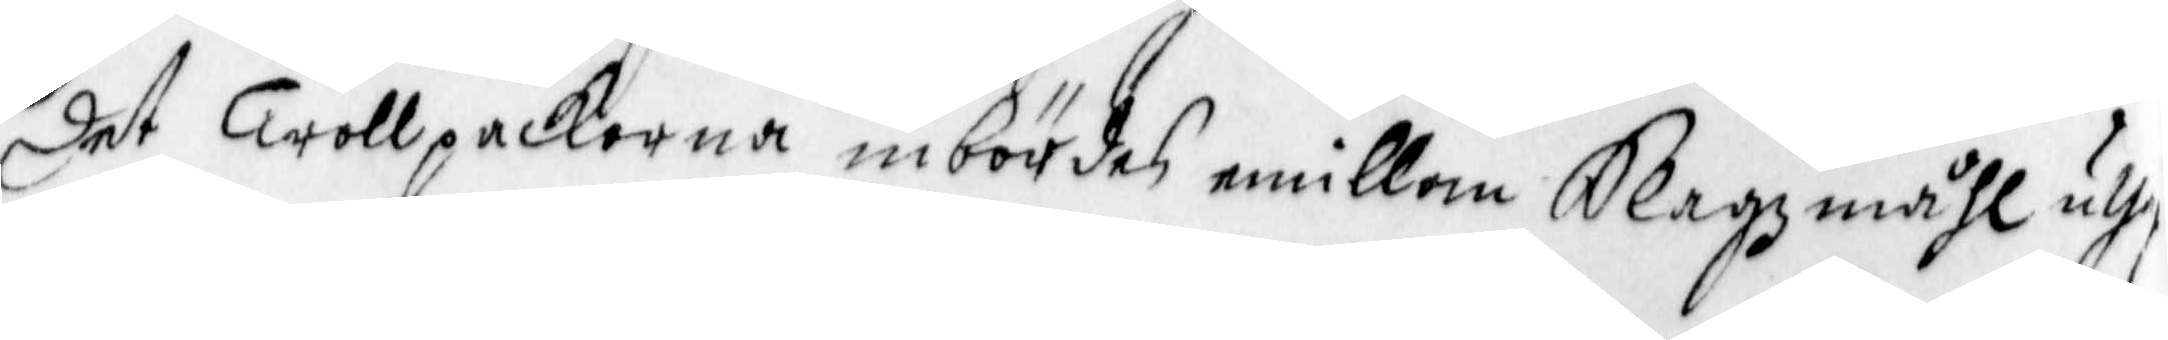det Trollpackorna inbördes emillam Slagzmåhl uthi
